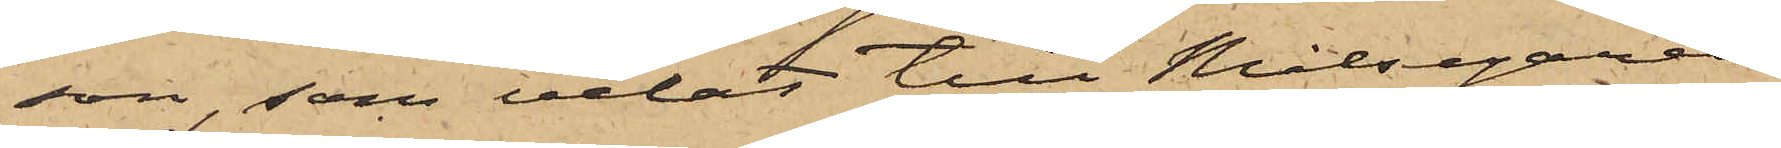son, som velat till Målsegaren
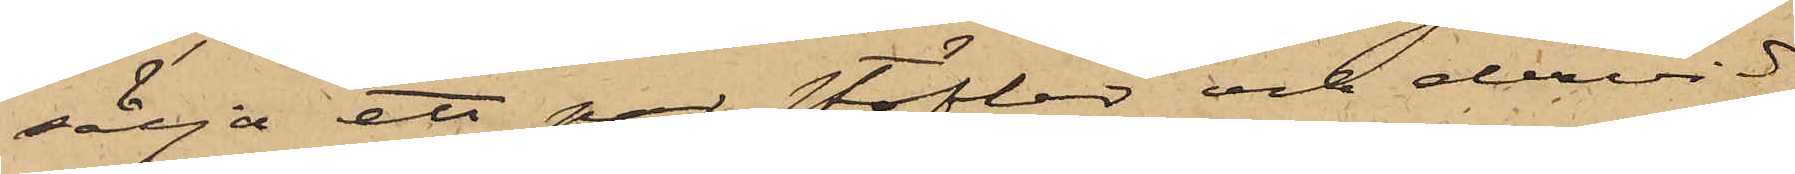sälja ett par stöflar och dervid
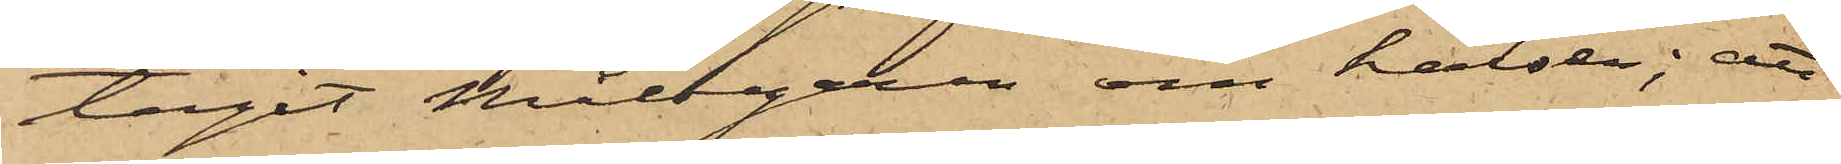tagit Målsegaren om halsen; att
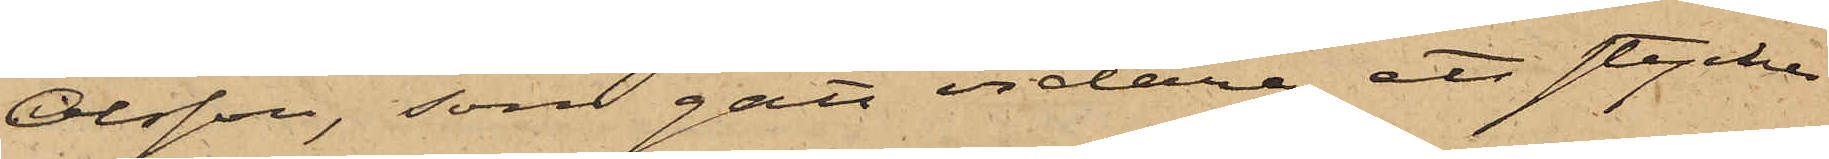Olsson, som gått vidare, ett stycke
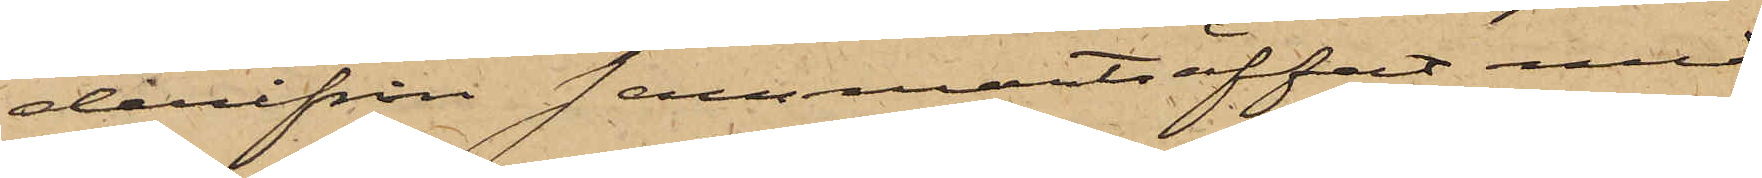derifrån sammanträffat med
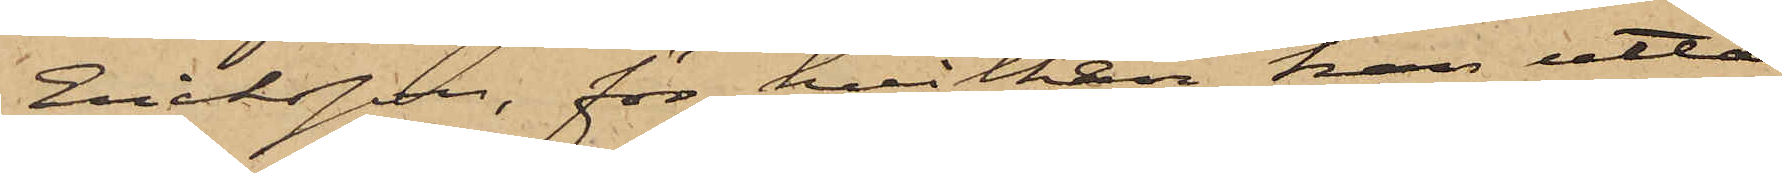Eriksson, för hvilken han utta¬
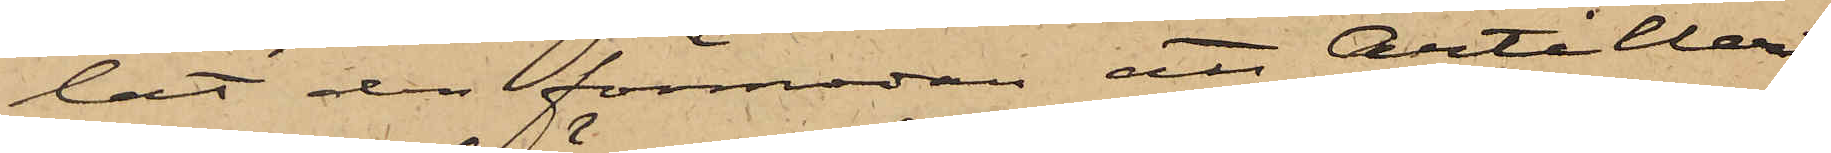lat den förmodan att Artilleri¬
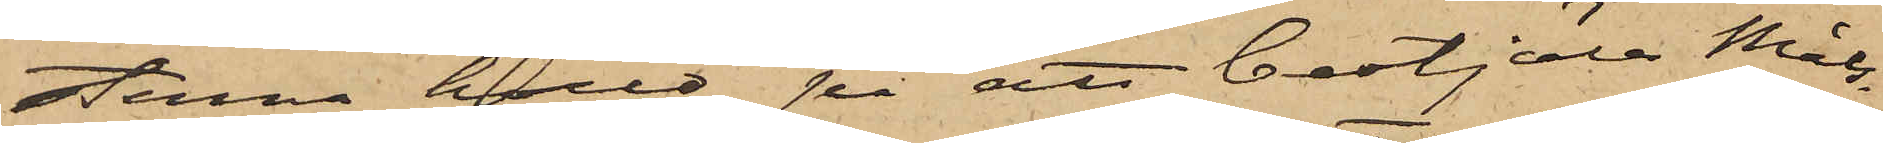sterna höllo på att bestjäla Måls¬
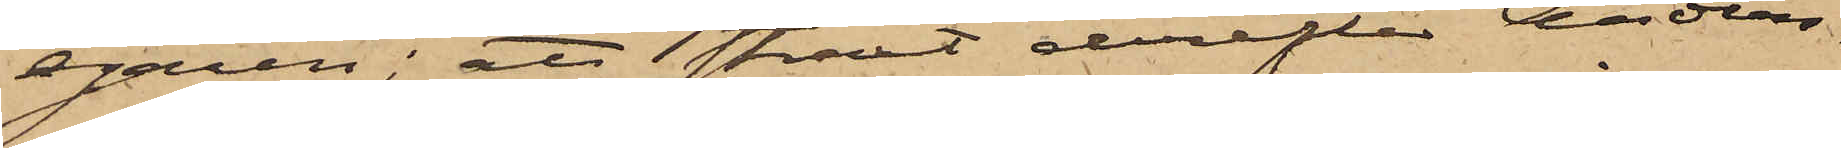egaren; att straxt derefter Anders¬
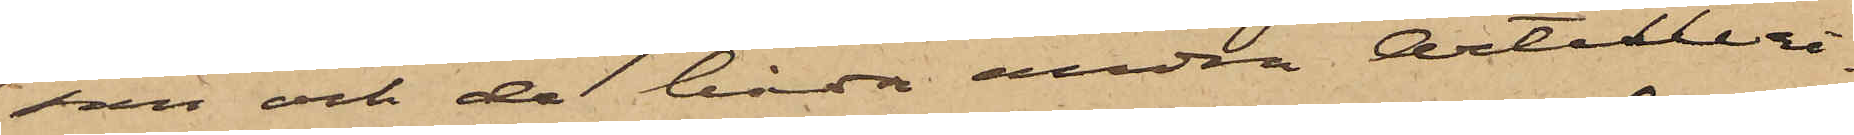son och de båda andra Artilleri¬
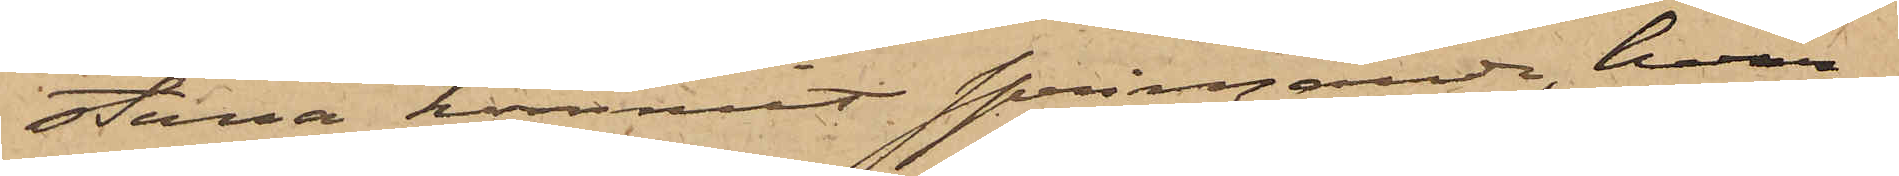sterna kommit springande, hvar¬
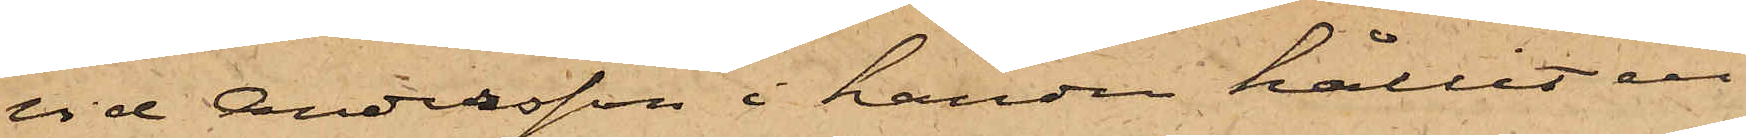vid Andersson i handen hållit en
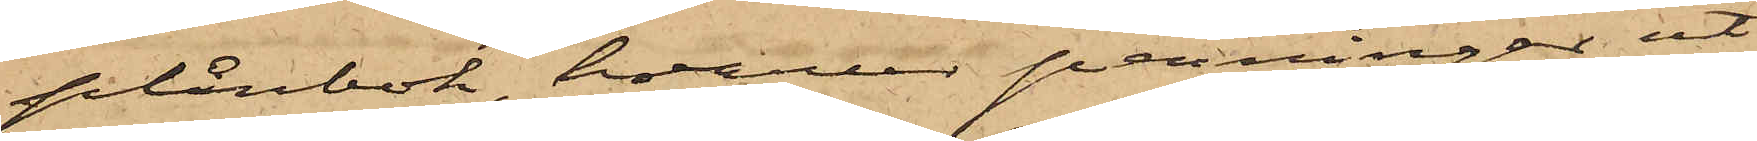plånbok, hvarur penningar ut¬
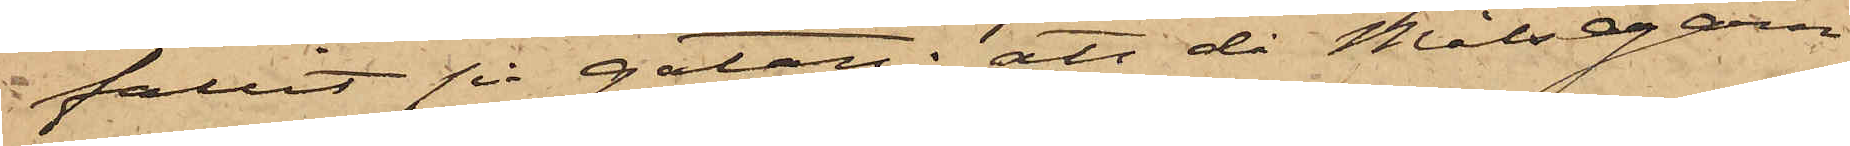fallit på gatan; att då Målsegarn
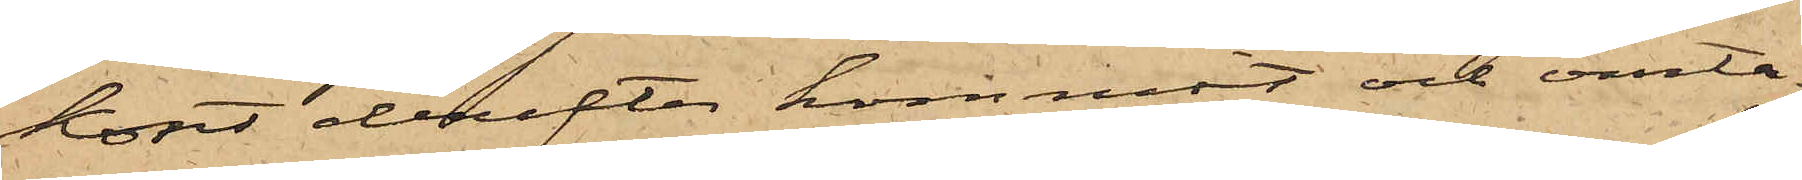kort derefter kommit och omta¬
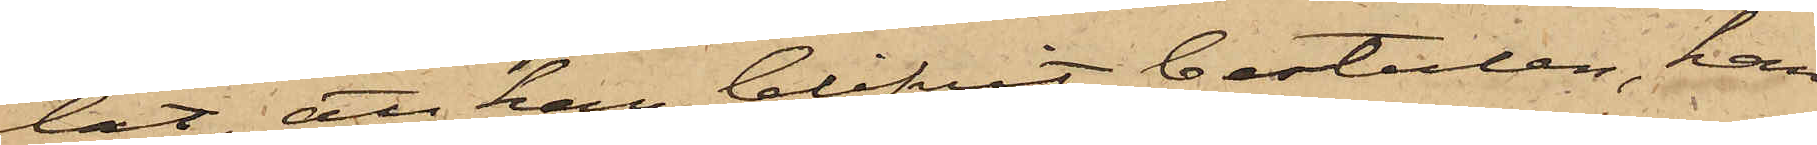lat, att han blifvit bestulen, han
